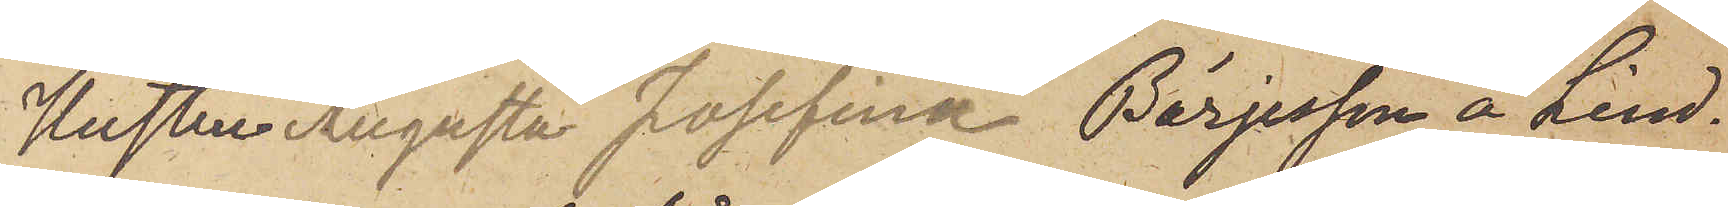Hustru Augusta Josefina Börjesson å Lind¬
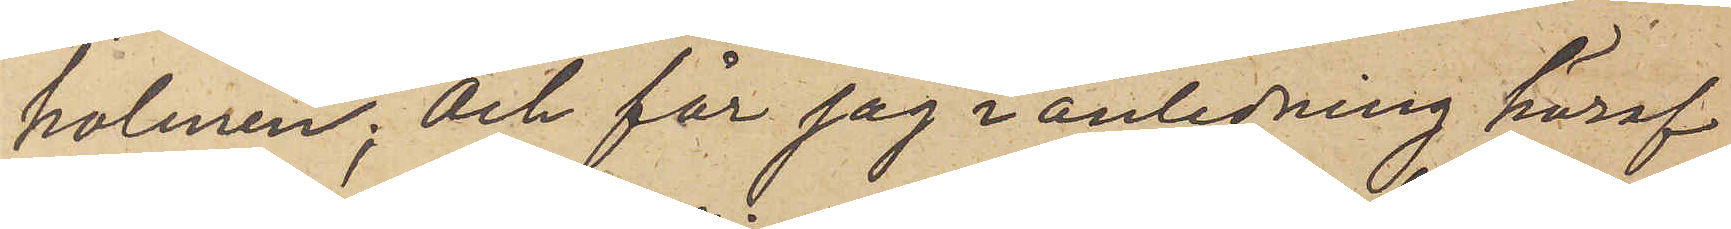holmen; och får jag i anledning häraf
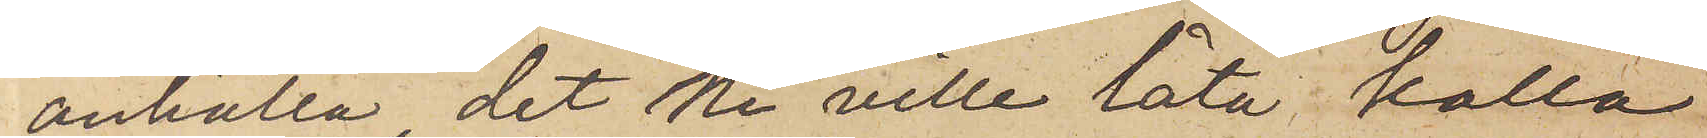anhålla det ne ville låta kalla
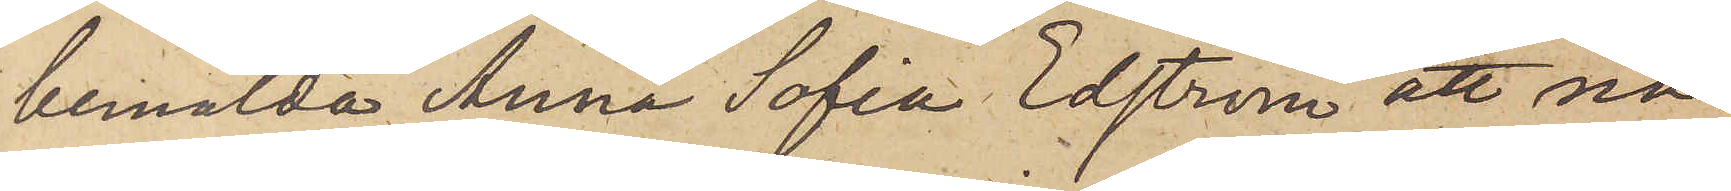bemälda Anna Sofia Edström att nå¬
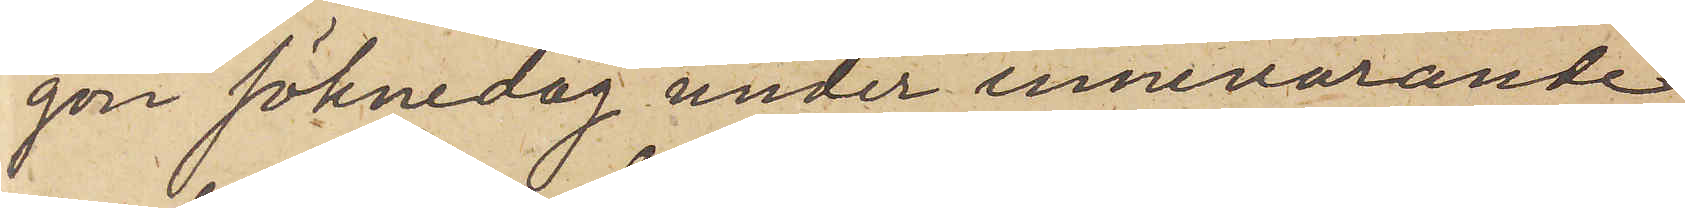gon söknedag under innevarande
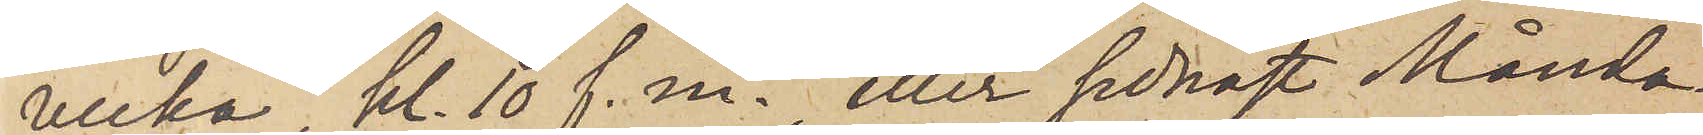vecka, kl. 10 f. m. eller sednast Månda¬
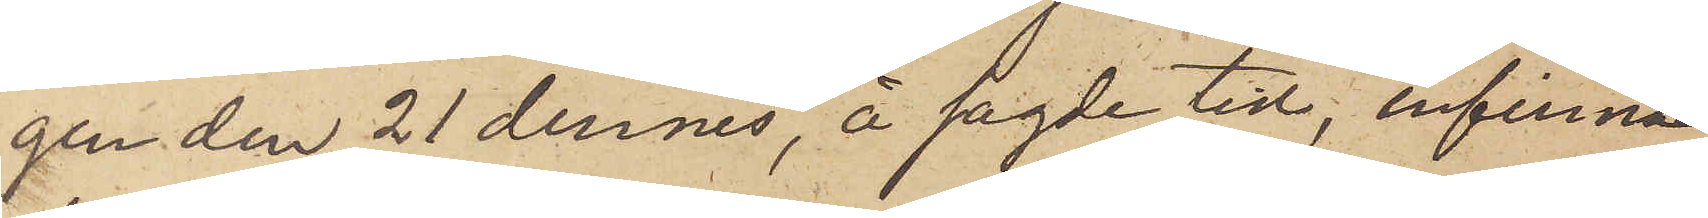gen den 21 dennes, å sagde tid, infinna
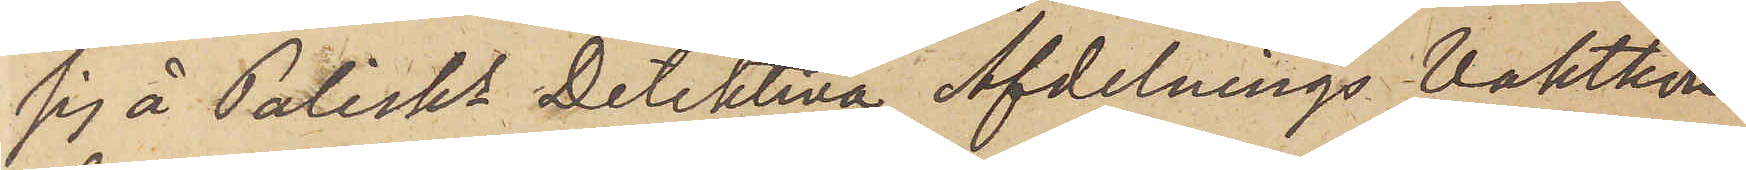sig å Polisks Detektiva Afdelnings Vaktkon¬
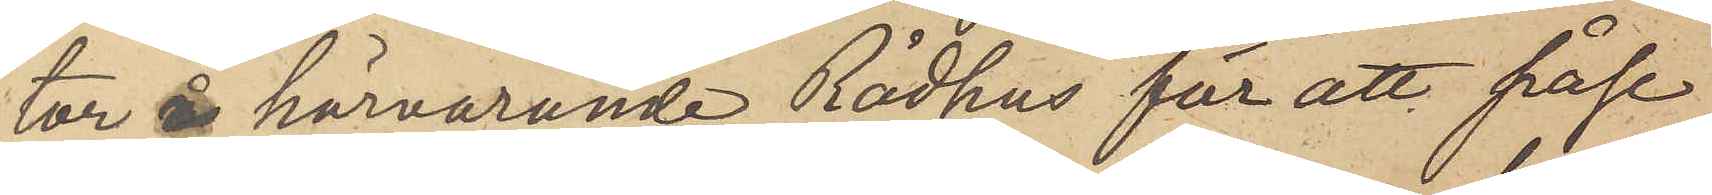tor å härvarande Rådhus för att påse
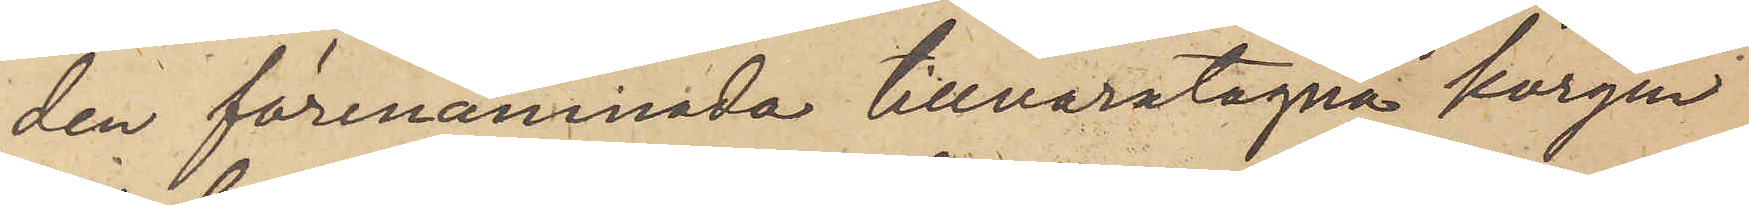den förenämnade tillvaratagna korgen
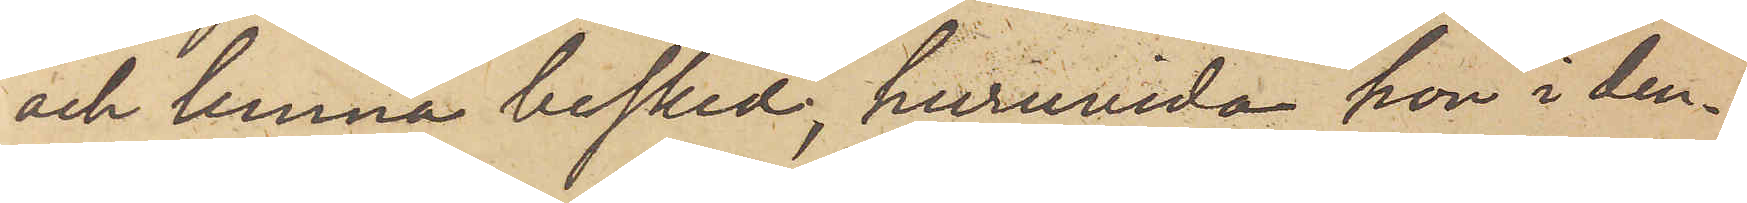och lemna besked, huruvida hon i den¬
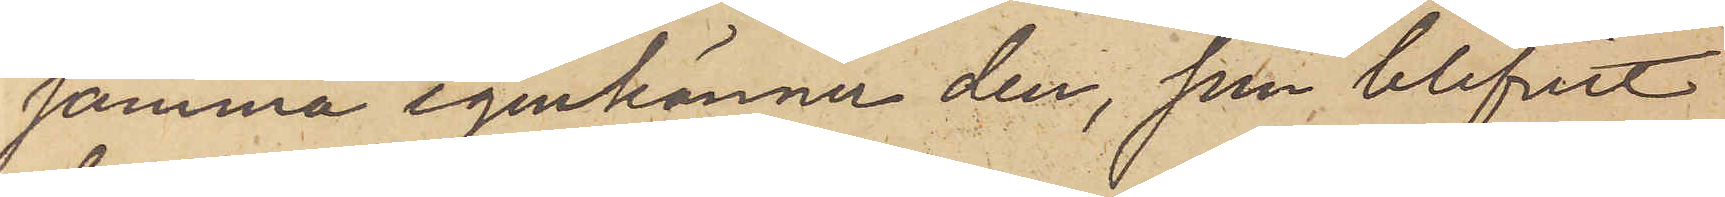samma igenkänner den, som blifvit
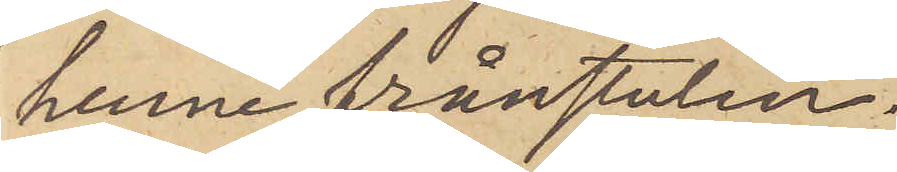henne frånstulen.
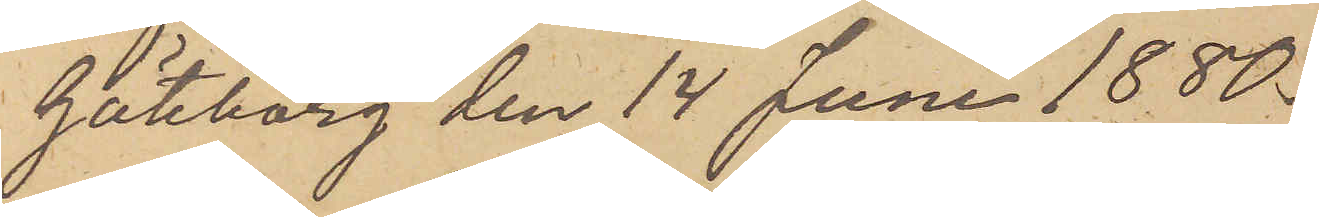Göteborg den 14 Juni 1880.
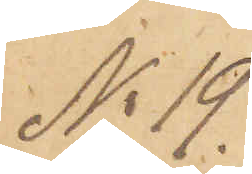No 19.
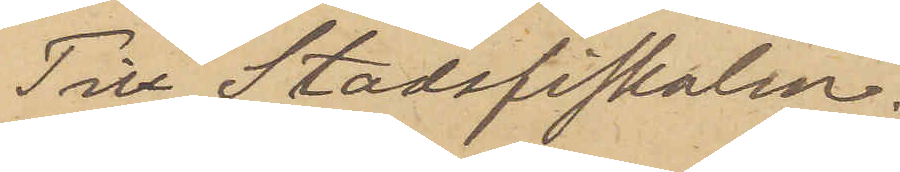Till Stadsfiskalen.
